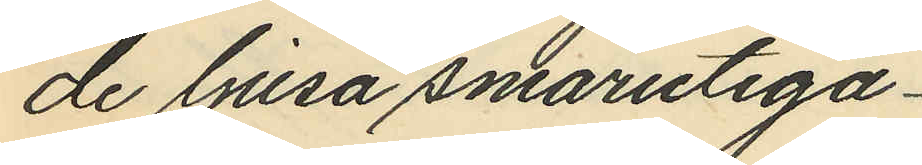de ljusa smårutiga
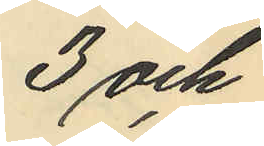3 och
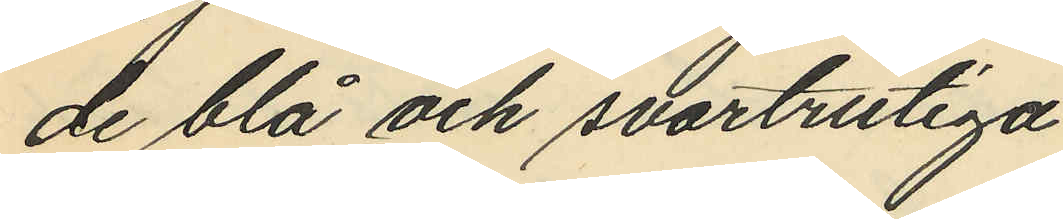de blå och svartrutiga
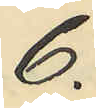6.
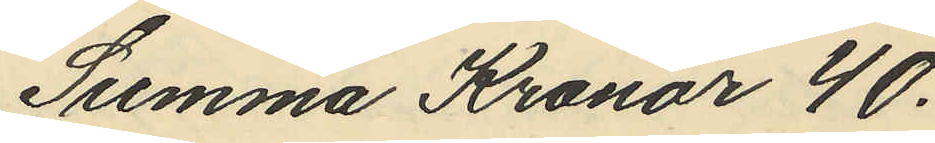Summa Kronor 40.
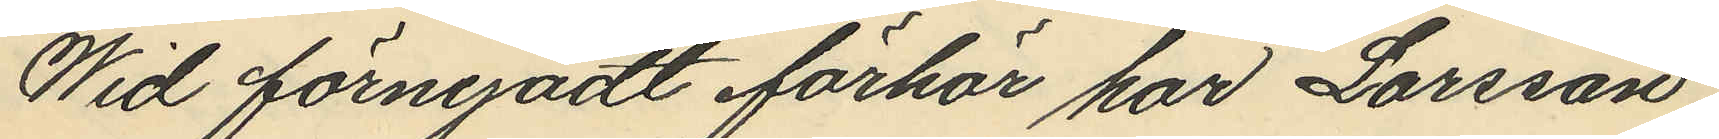Wid förnyadt förhör har Larsson
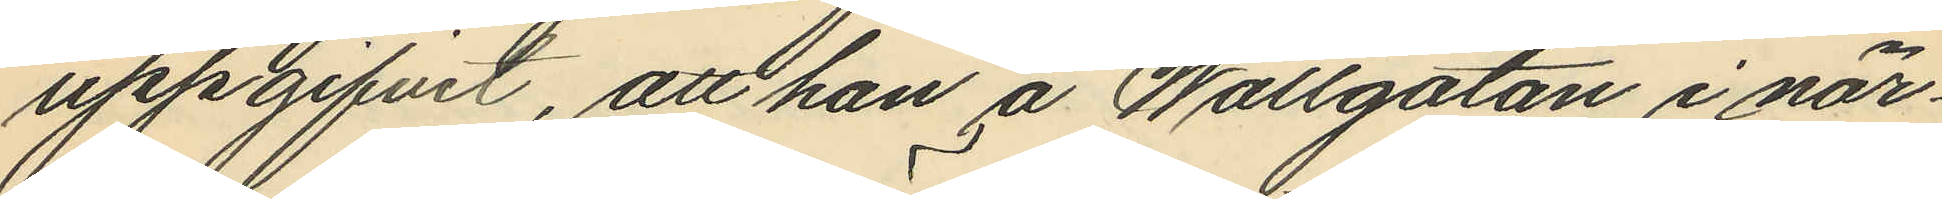uppgifvit, att han å Wallgatan i när¬
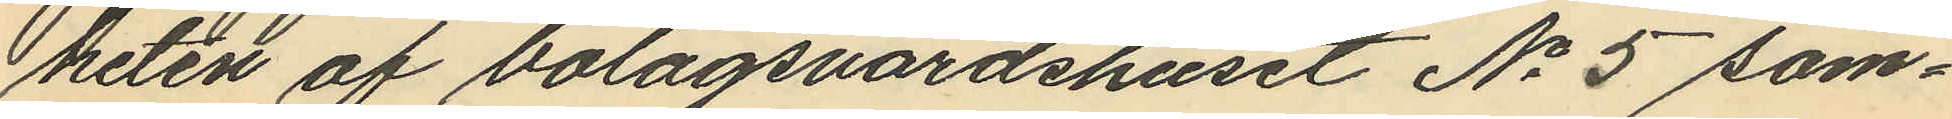heten af bolagsvärdshuset No 5 sam¬
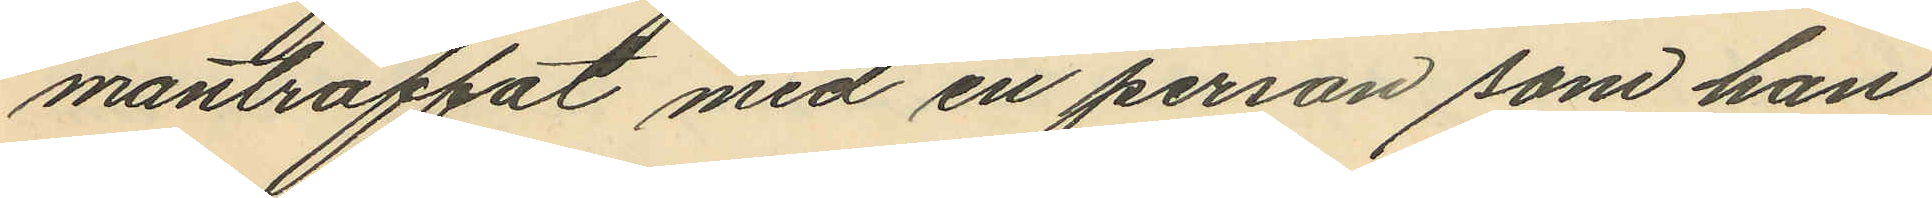manträffat med en person som han
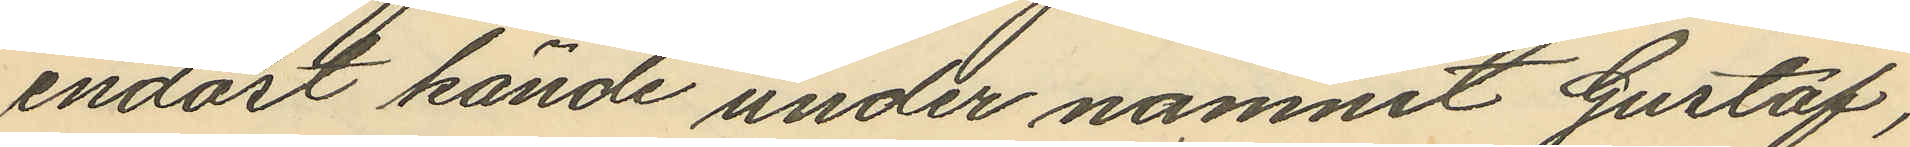endast kände under namnet Gustaf,
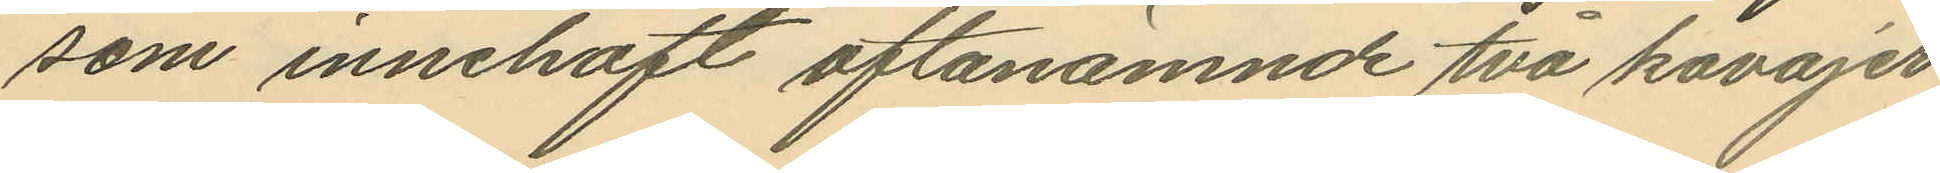som innehaft oftanämnde två kavajer
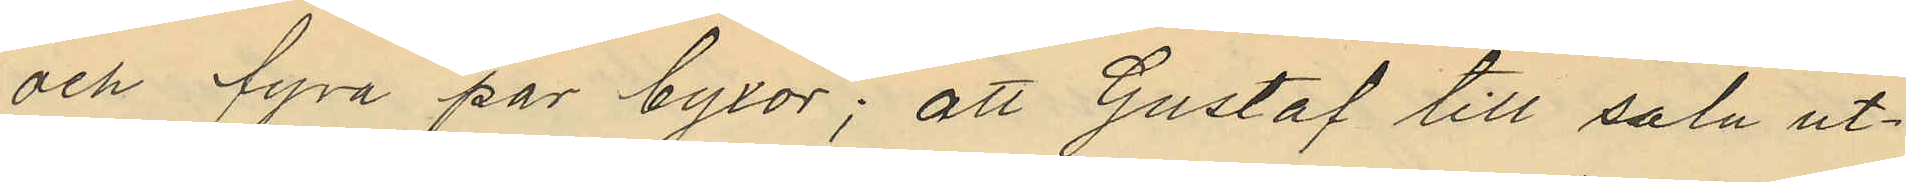och fyra par byxor; att Gustaf till salu ut¬
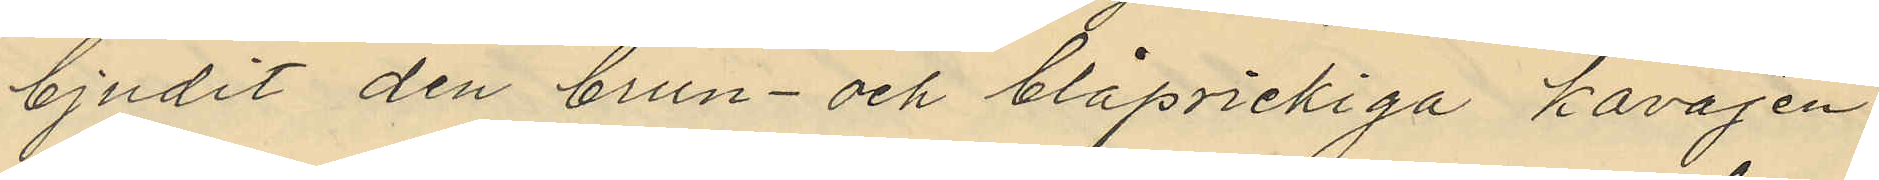bjudit den brun- och blåprickiga kavajen,
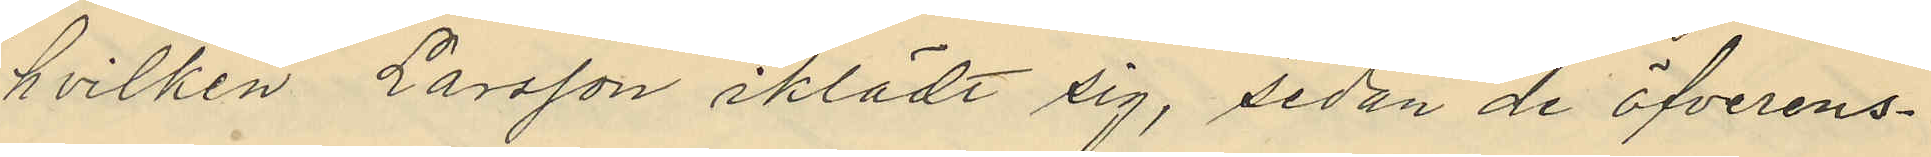hvilken Larsson iklädt sig, sedan de öfverens¬
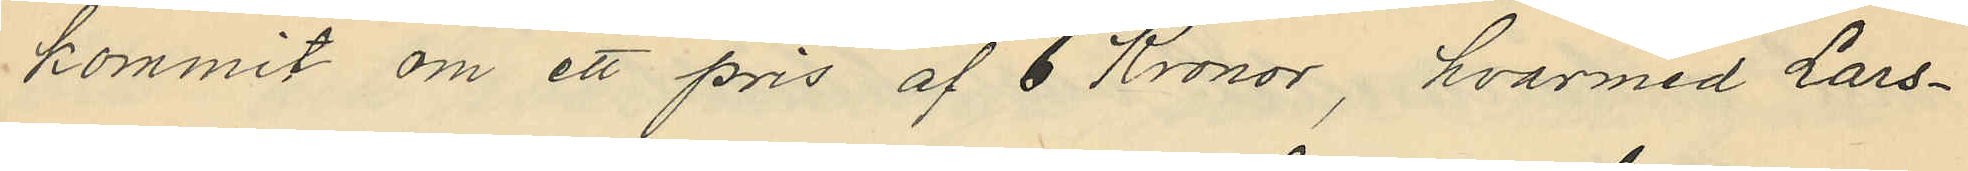kommit om ett pris af 6 Kronor, hvarmed Lars¬
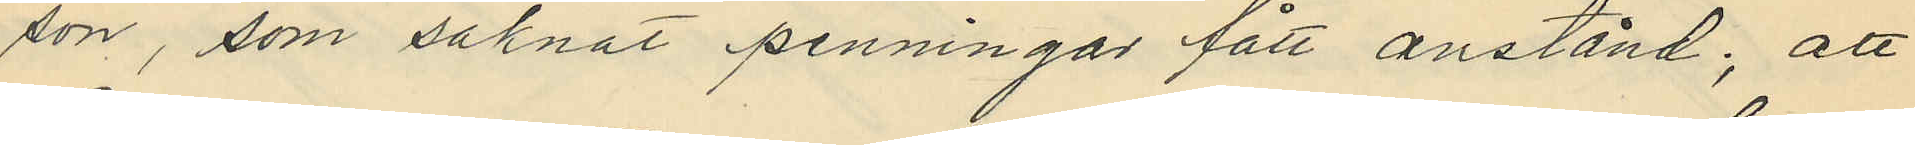son, som saknat penningar fått anstånd; att
